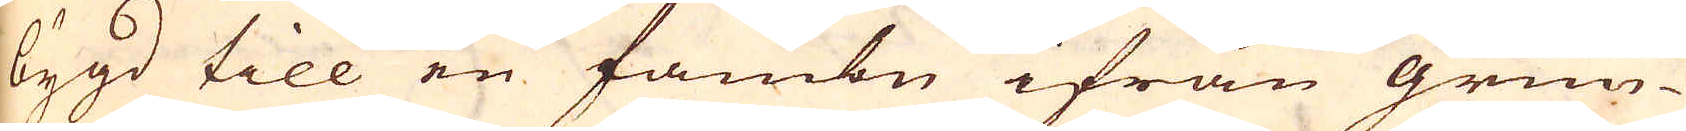bygd till en fambn ifrån grun-
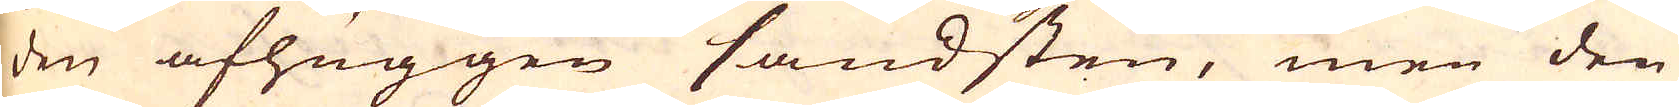den afhuggen sandsten, men den
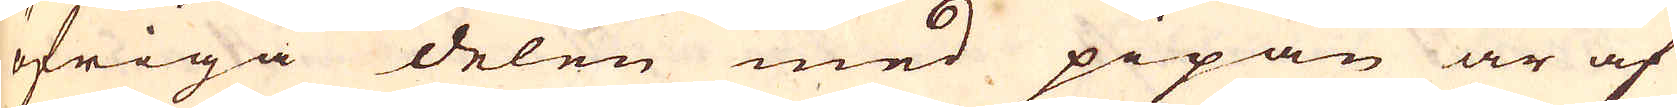öfriga delen med pipan är af
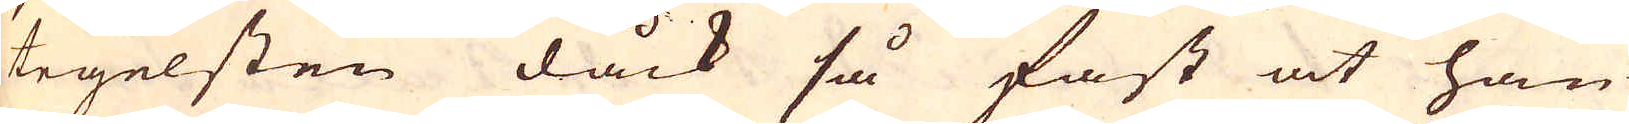tegelsten dåck så fast at han
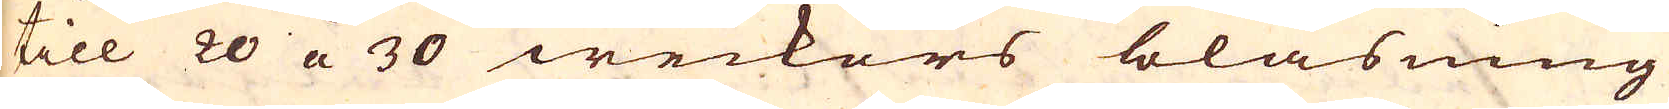till 20 a 30 weckors blåsning
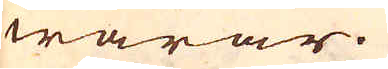warar.
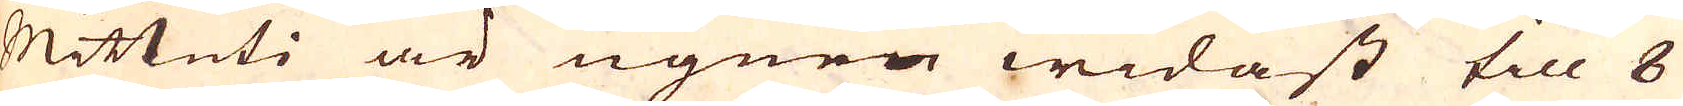Mittuti är ugnen widast till 8
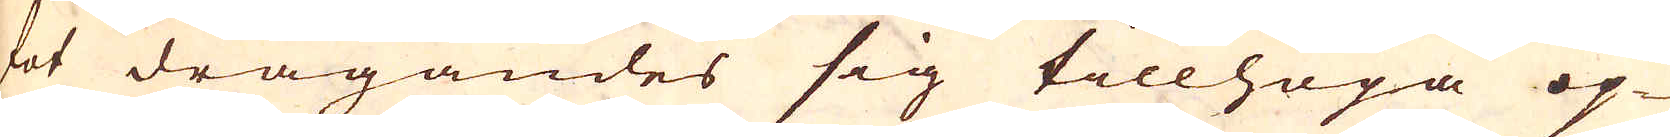fot dragandes sig tillhopa op-
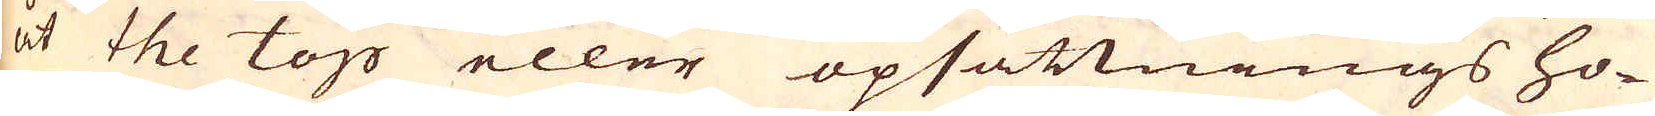åt the top eller opsättnings ho-
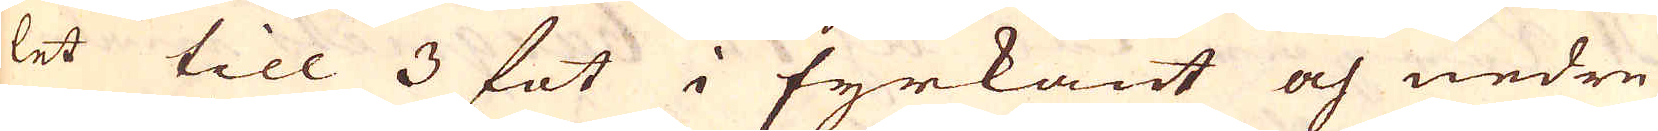let till 3 fot i fyrkant och nedre
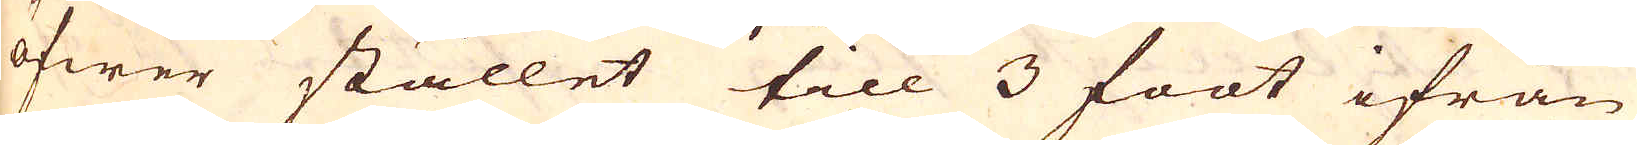öfwer stället till 3 foot ifrån
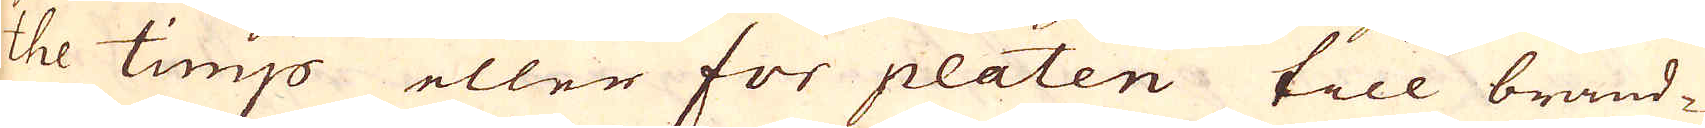the timp eller for platen till brand-
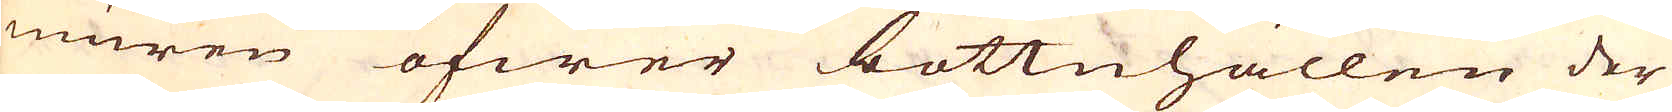muren öfwer bottnhällen der
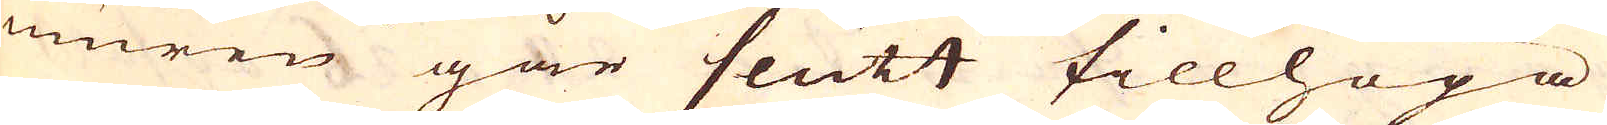muren går slutt tillhopa
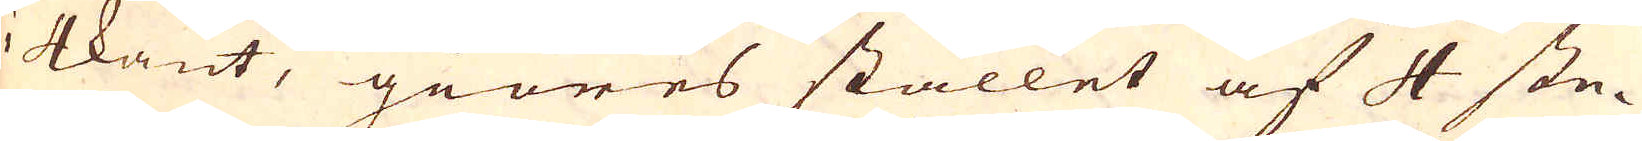i 4kant, giöres stället af 4 ste-
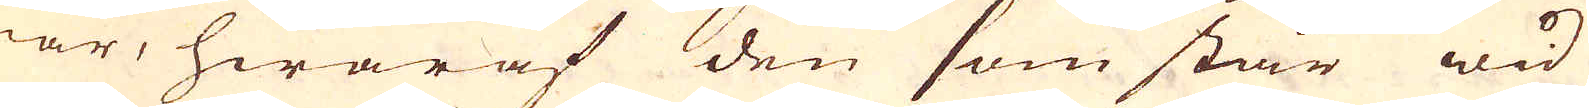nar, hwaraf den som står wid
